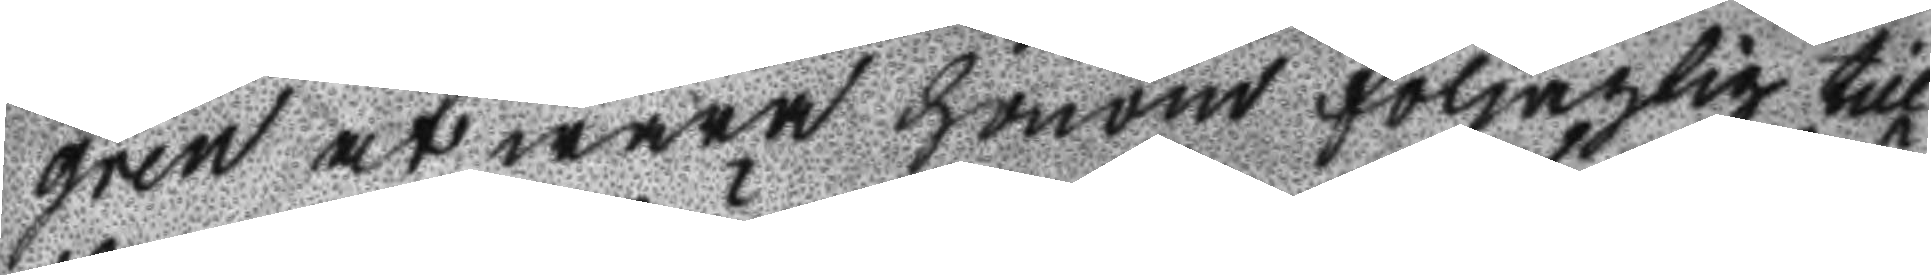gren at wara honom följagtig till
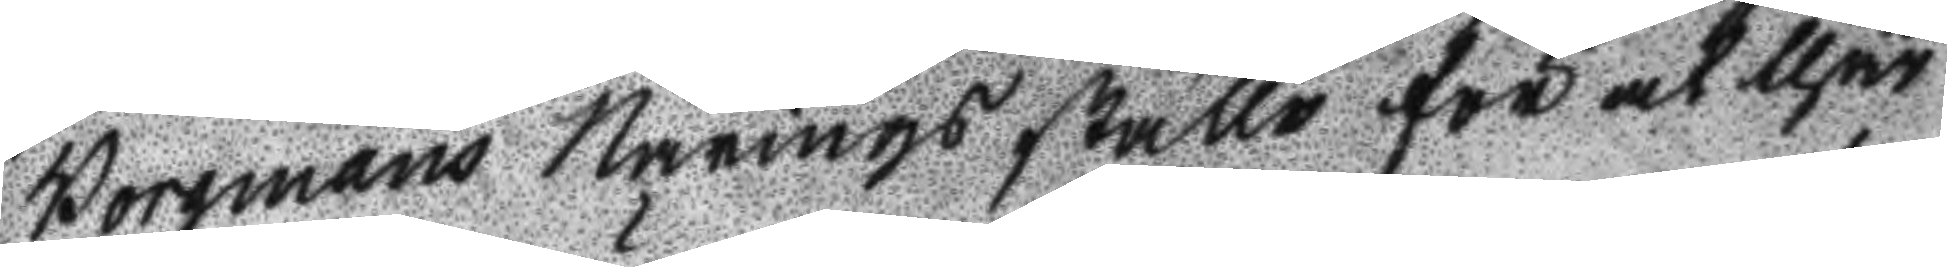Borgmans Närings ställe för at thär
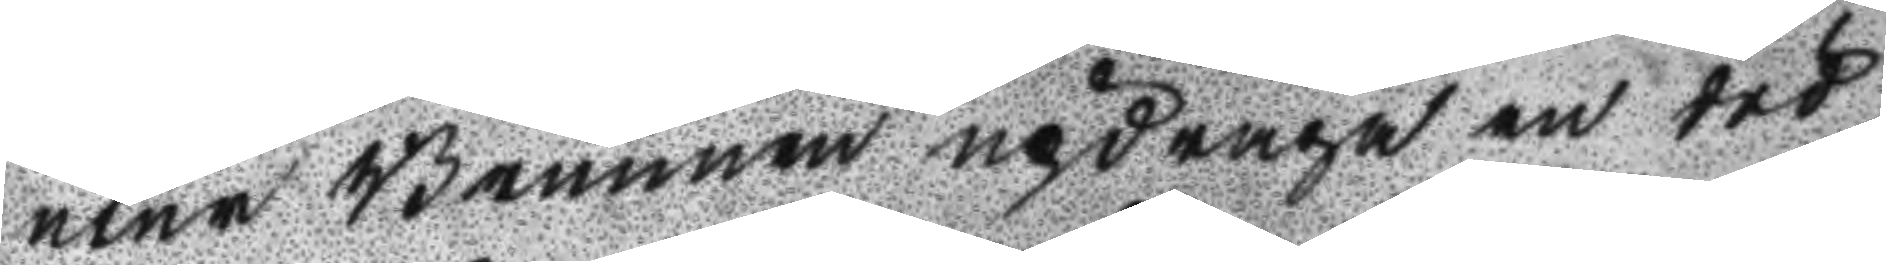utur Brunnen updraga en död
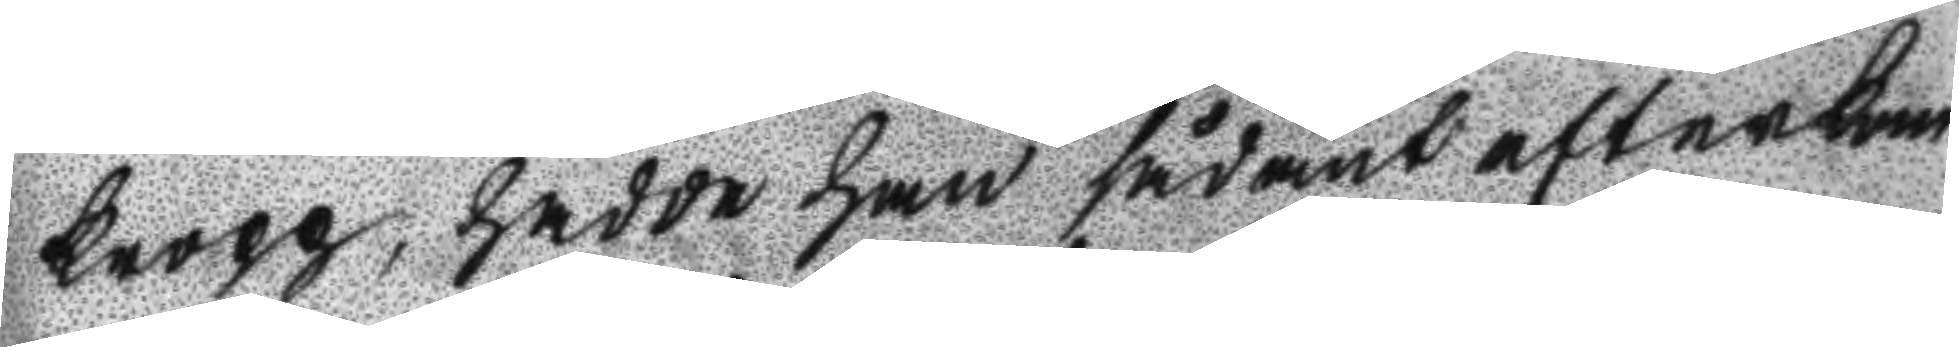kropp, hadde han sådant efterkom
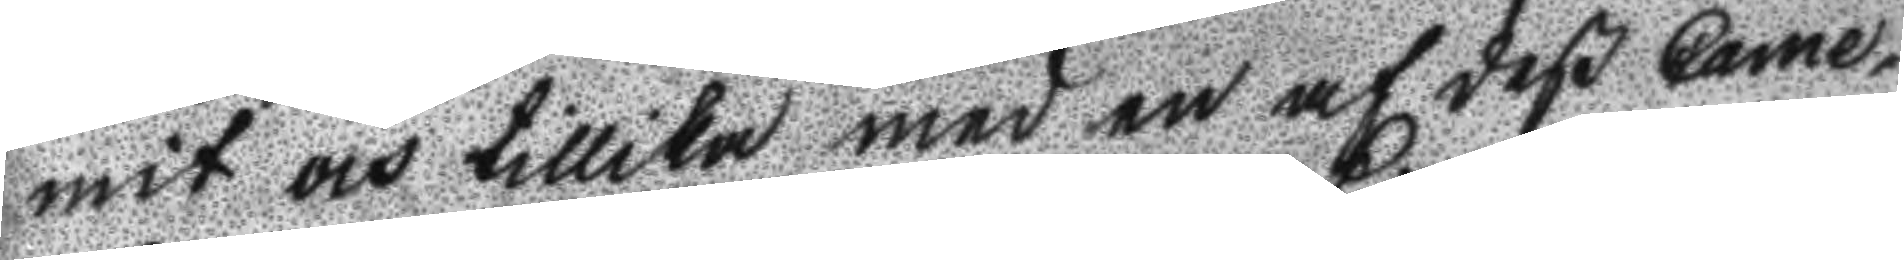mit och tillika med en af deß Came¬
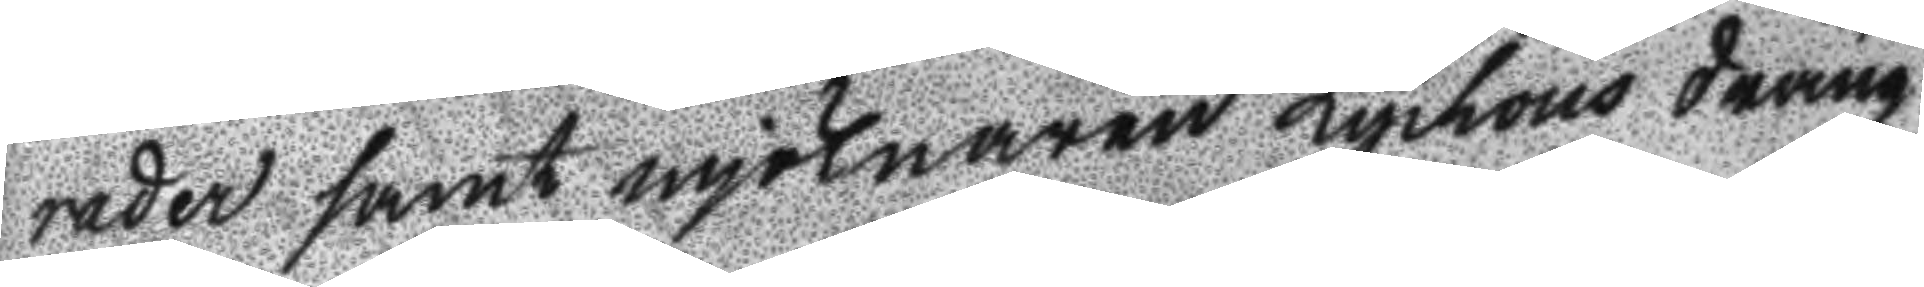rader samt mjölnaren Lychous dräng
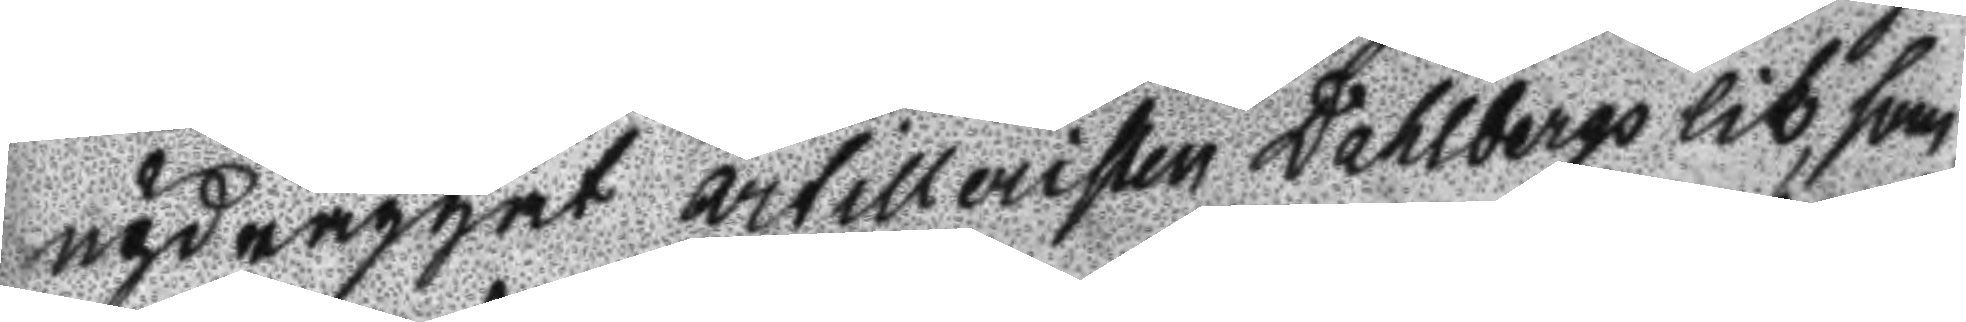updraggat artilleristen Dahlbergs lik, som
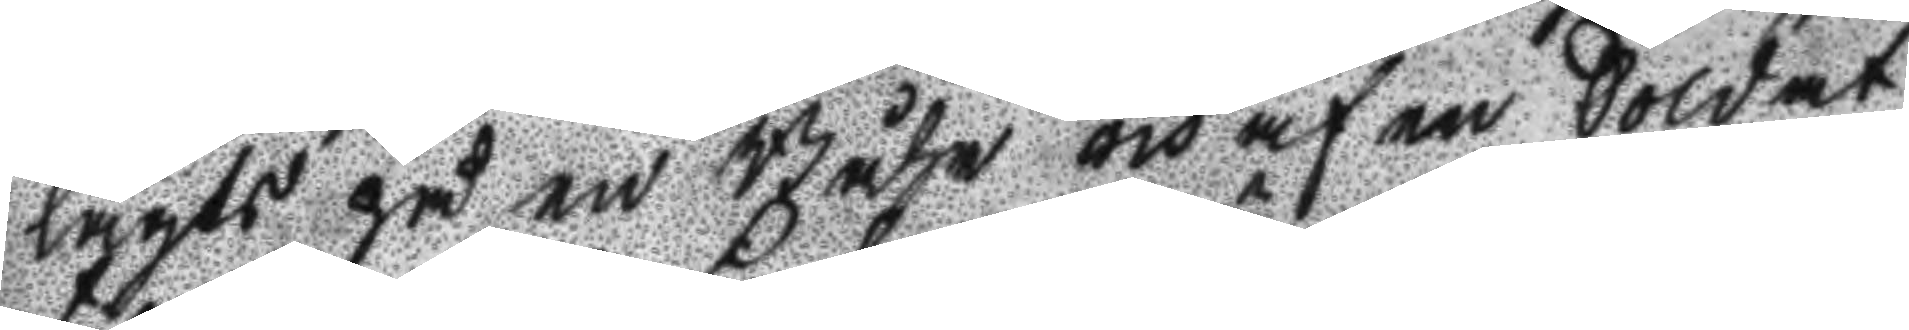lagts på en Båhr och af en Soldat
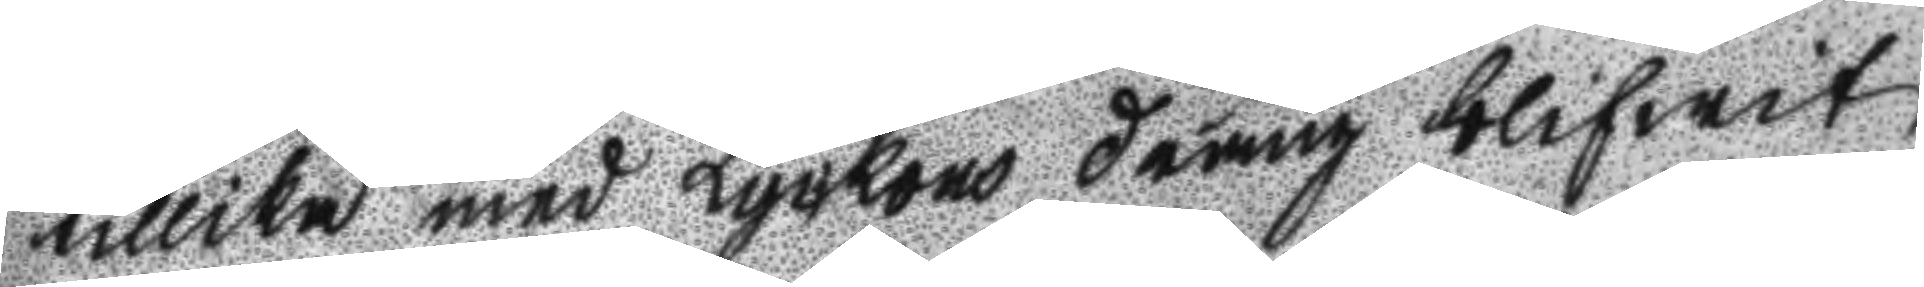tillika med Lyckous dräng blifwit
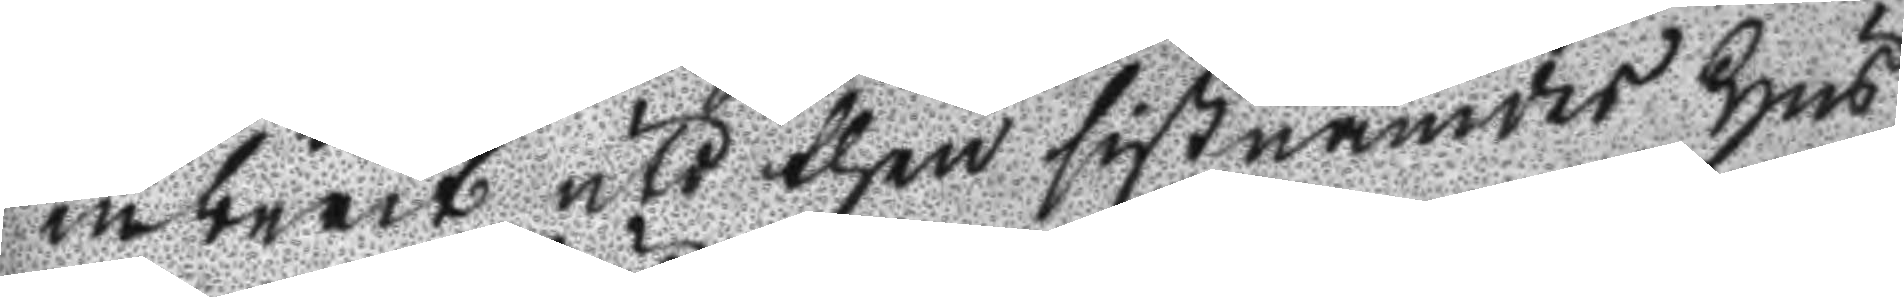inburit uti then sistnämdes Hus
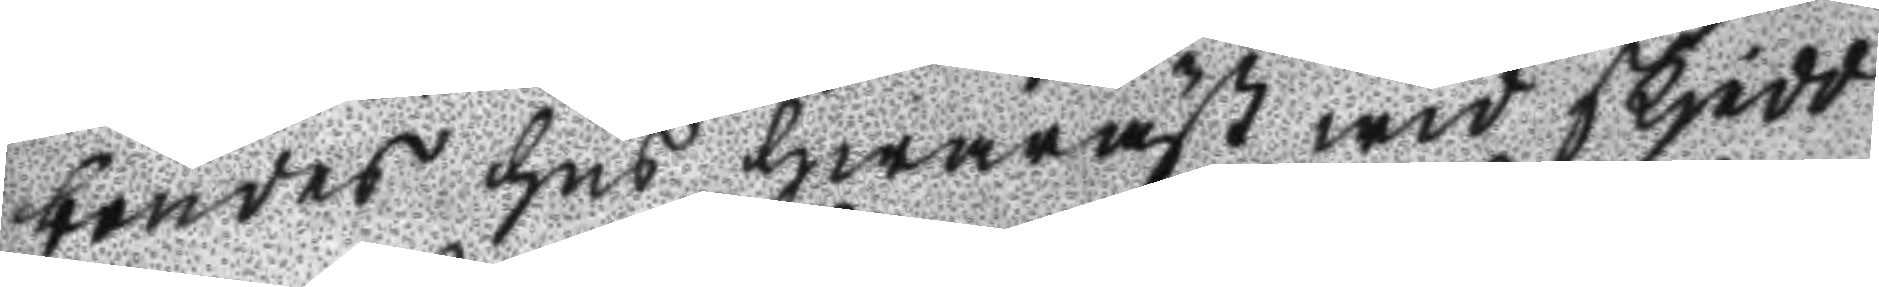boendes hus hwaräst wid skjedd
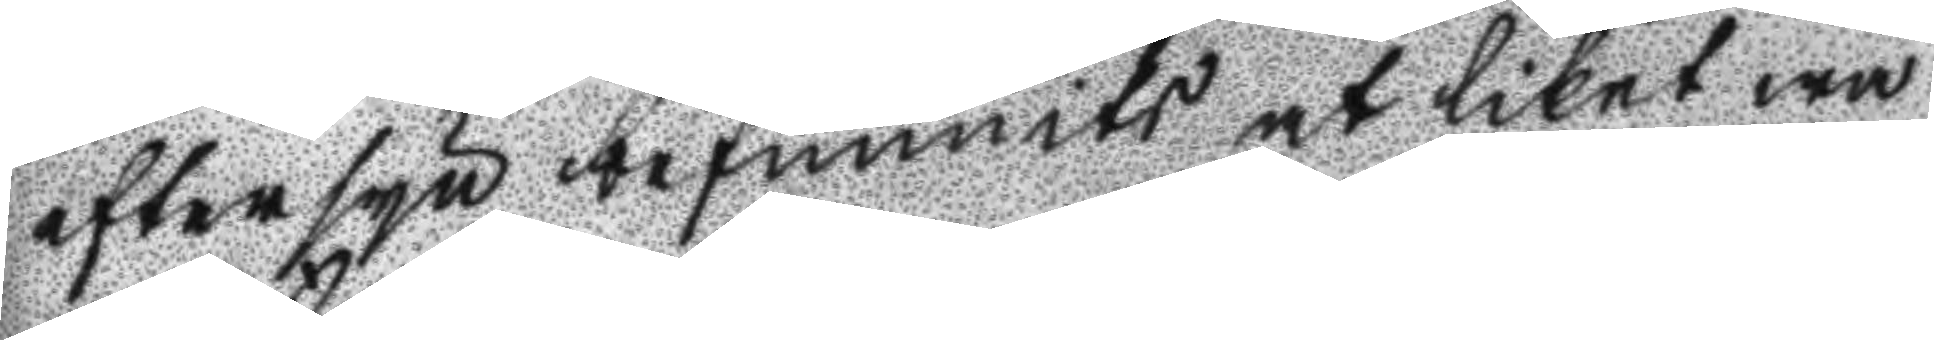eftersyn befunnits at liket wa
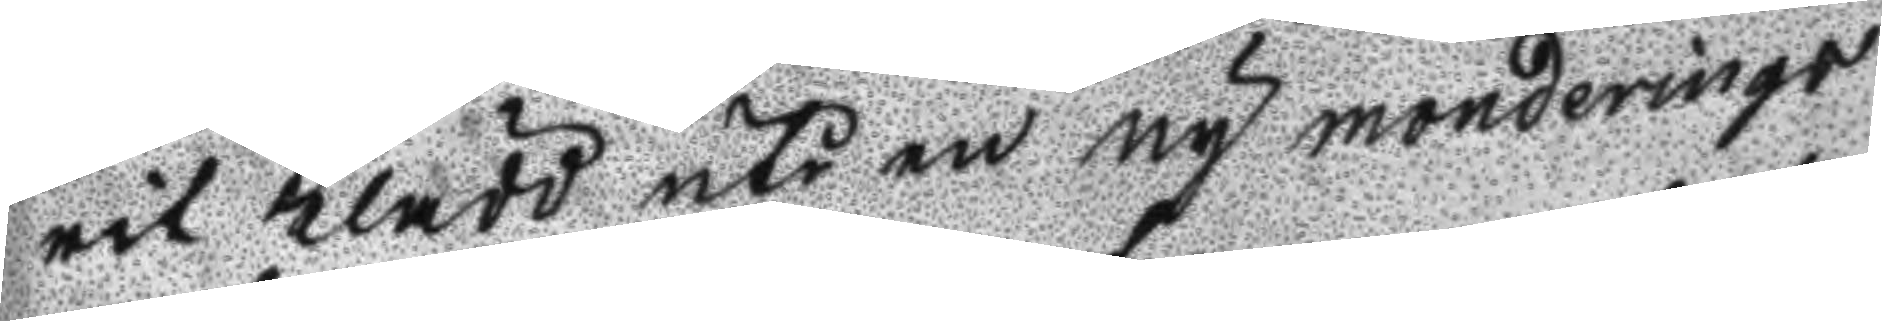rit Klädd uti en ny monderings
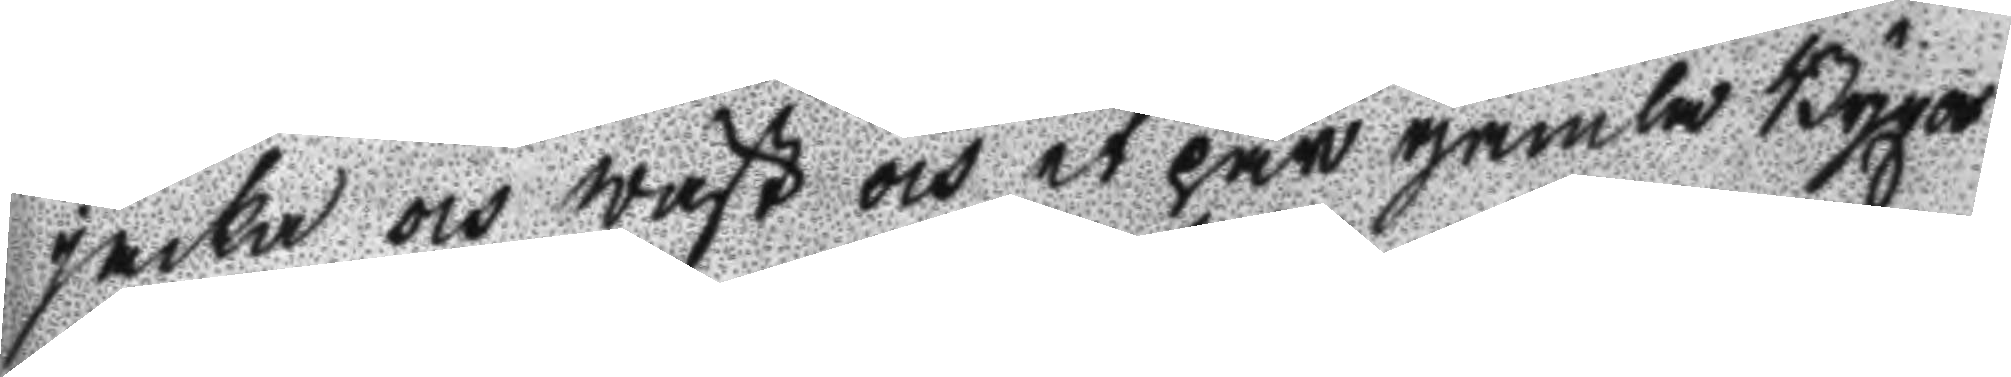jacka och wäst och et par gamla Byxor
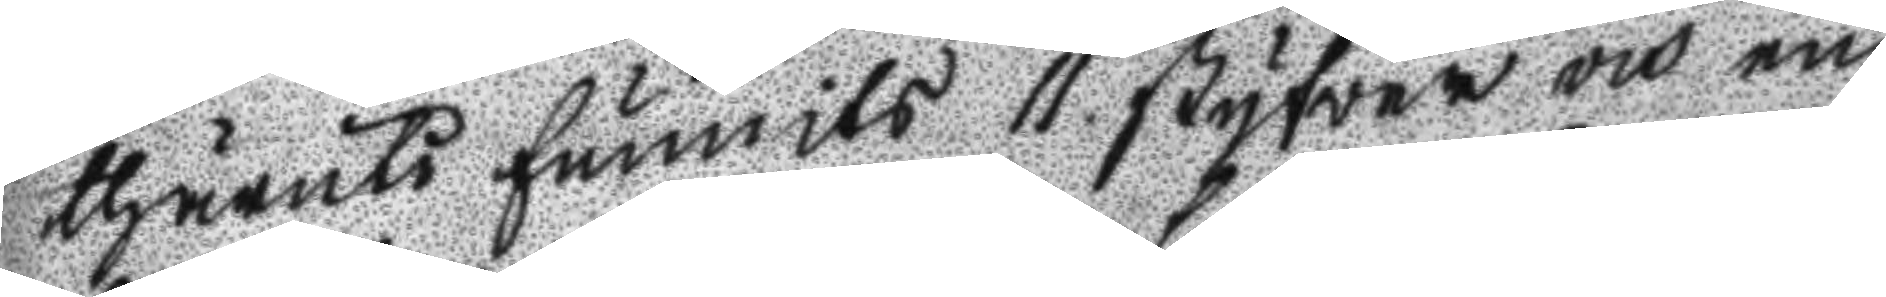thäruti funnits 11 styfver och en
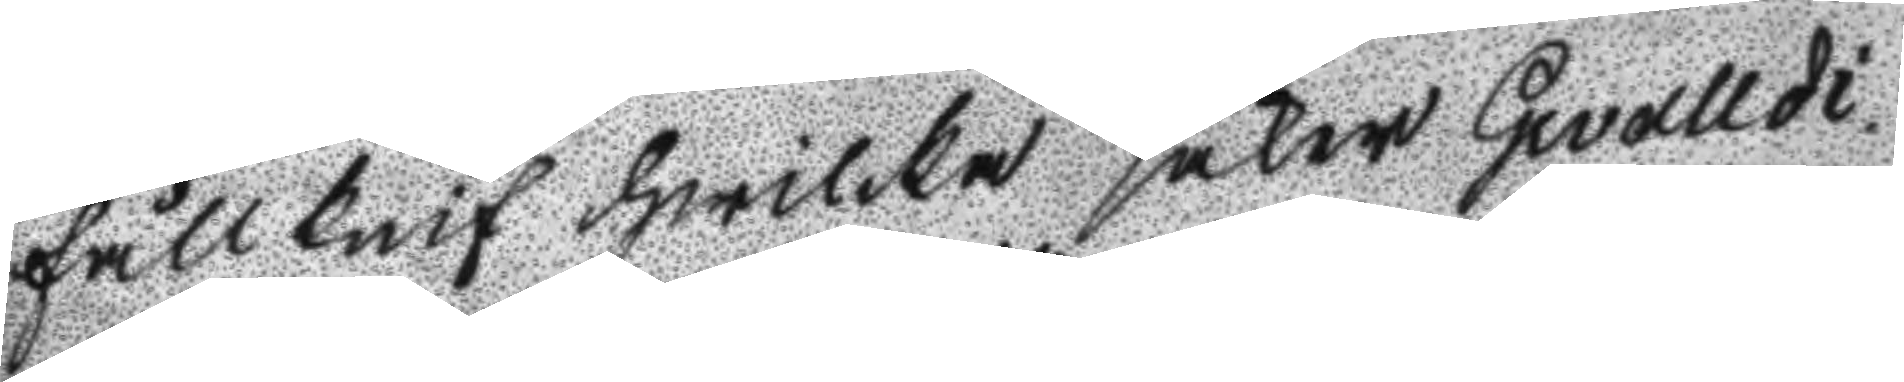fällknif hwilka saker Gevalldi
